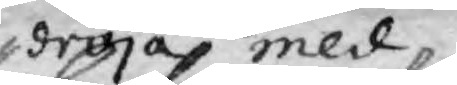dröja med
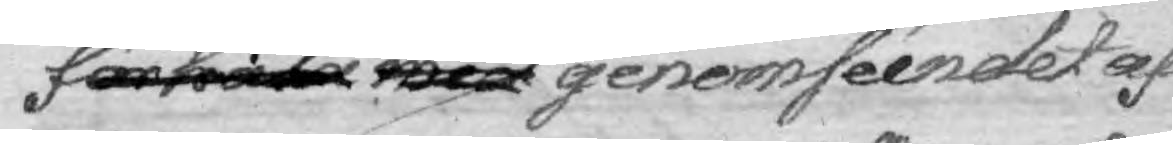förhala med genomséendet af
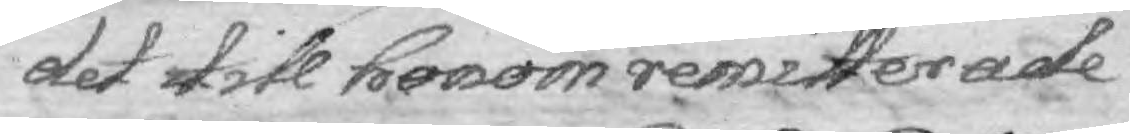det till honoon resmitterade
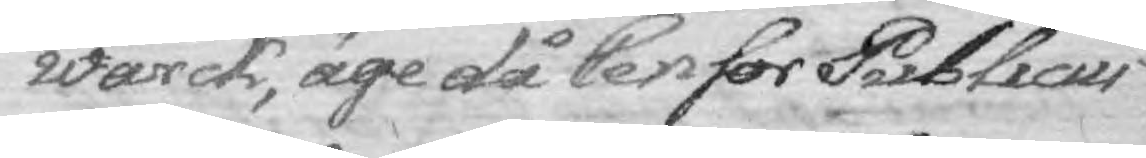wärck, äge då Censor Publicus
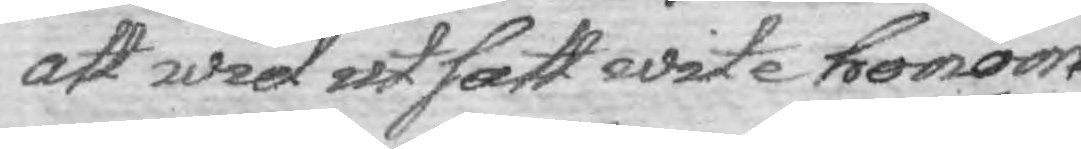att wid utsatt wite honom
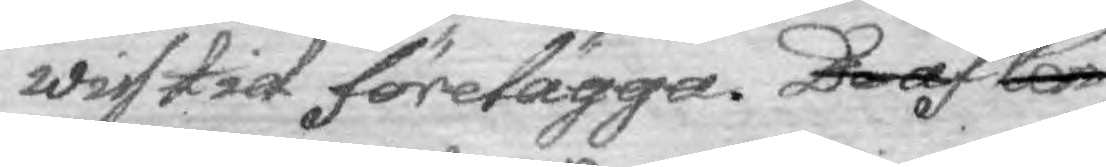wiss tid förelägga. Deraf under Cen¬
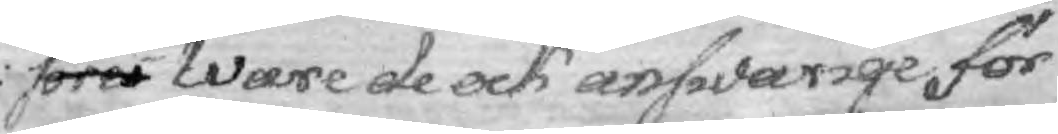sores Ware de answarige för
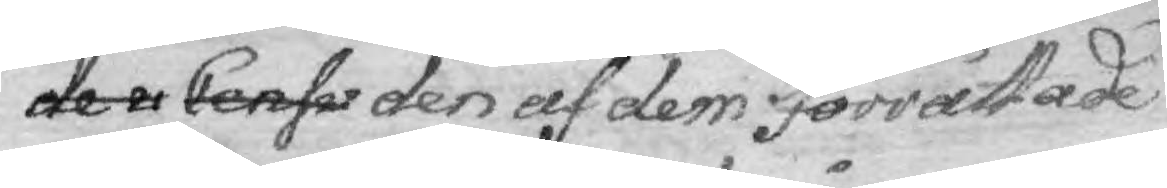de u Censu den af dem förrättade
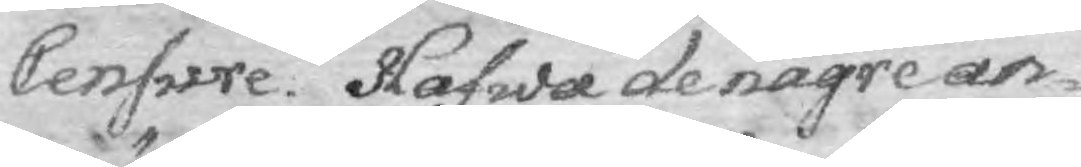Censrer. Hafwa de någre an¬
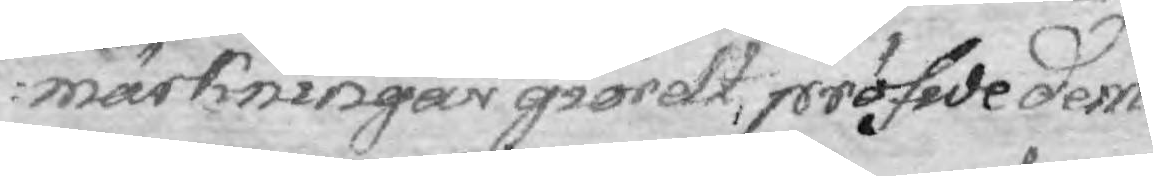märkningar giordt, pröfvde dem
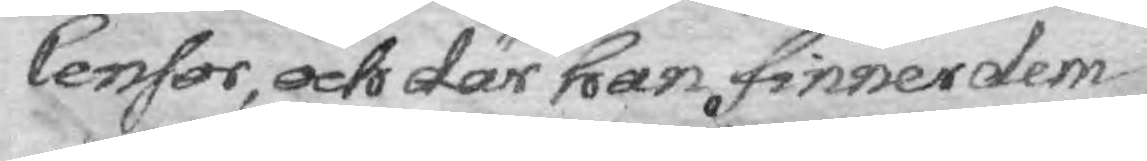Censor, och där han finner dem
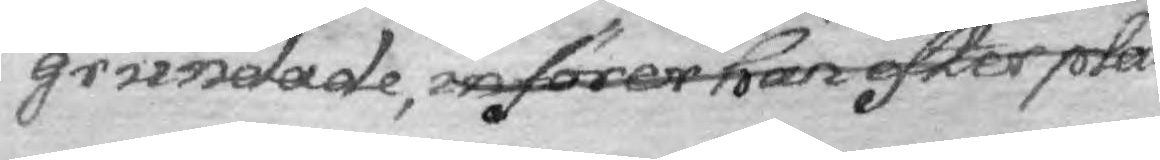grundade, införer han efter plä¬
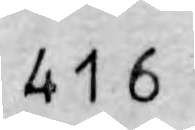416
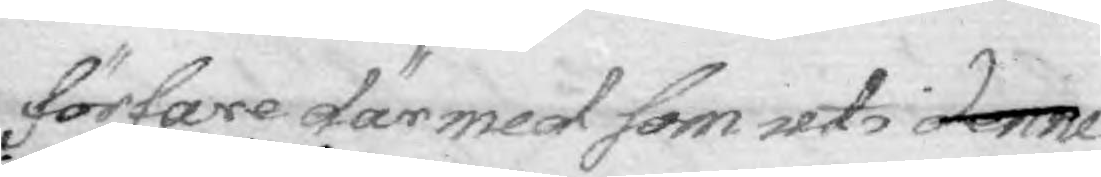förare däremd som uti denne
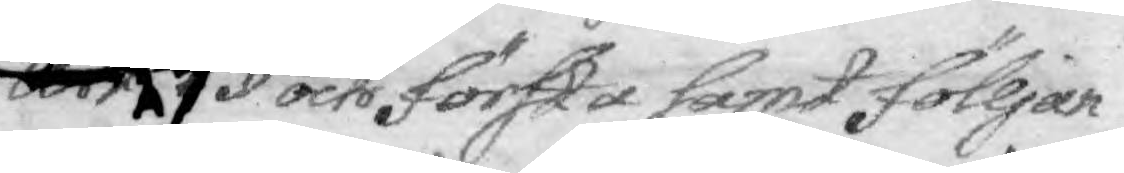Art 6 § sist berörde och första samt följan¬
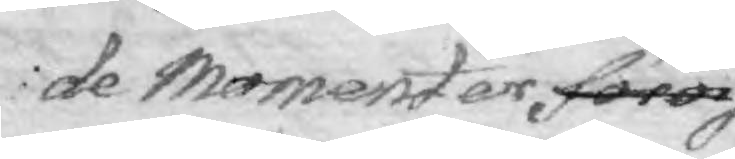de Momenter föror
